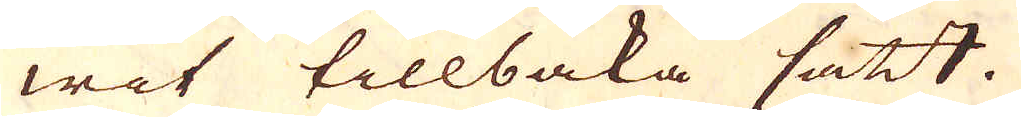wit tillbaka satt.
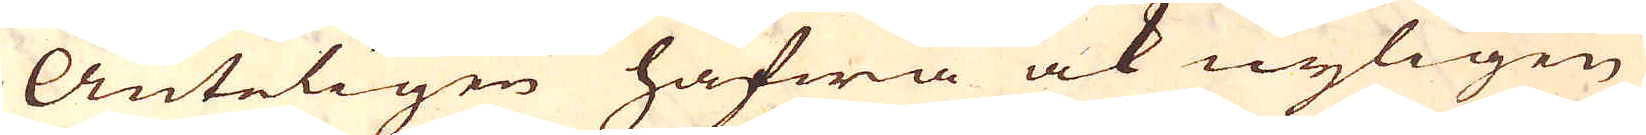Änteligen hafwa ock nyligen
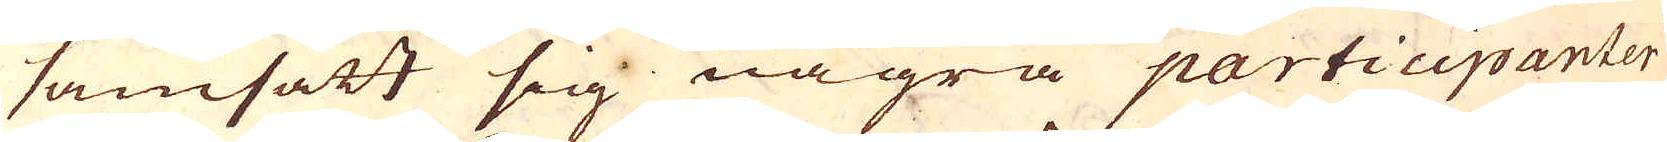samsatt sig några participanter
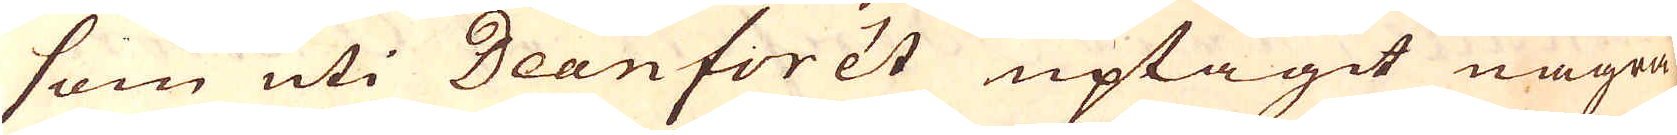som uti Dean forest uptagit några
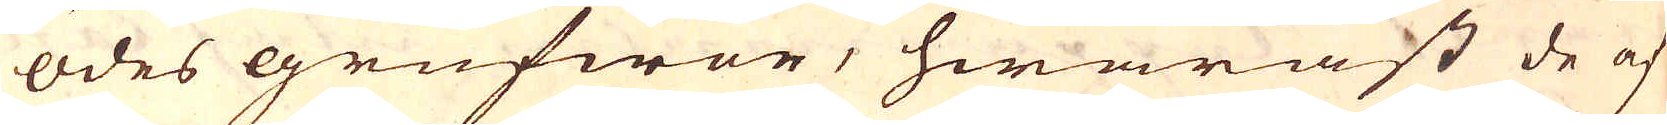ödes grufwor, hwaräst de af
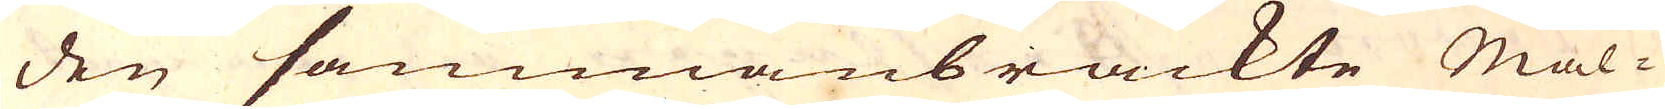den sammanbrackte Mal-
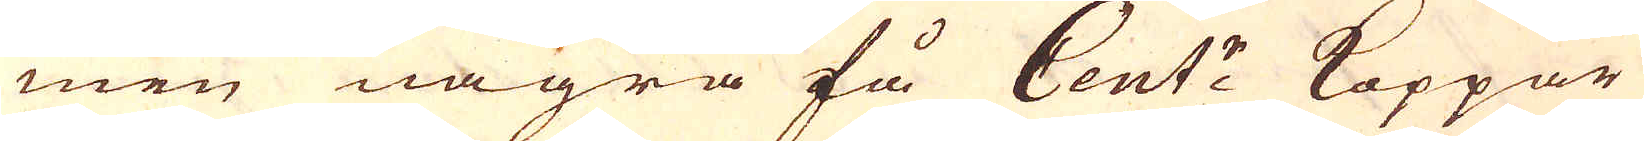men några få Cent:r Koppar
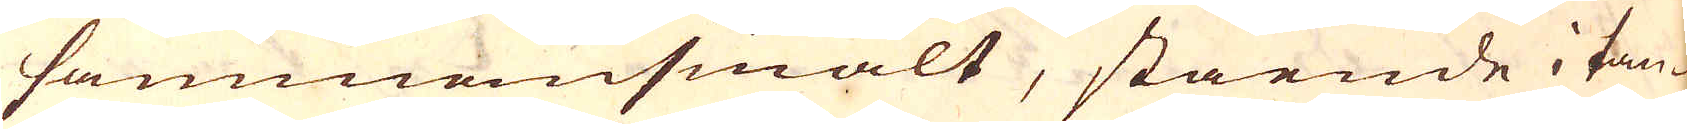sammansmält, stående i tan-
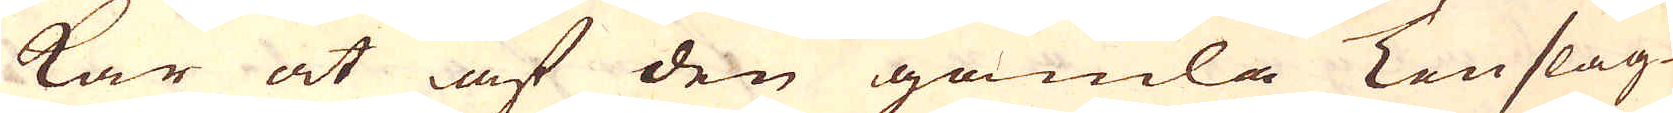kar at af den gamla Tenslag-
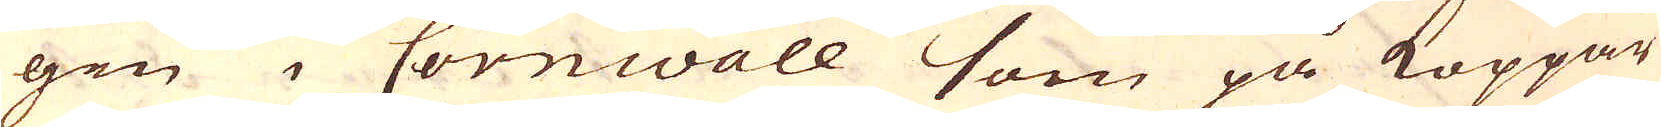gen i Cornwall som på Koppar
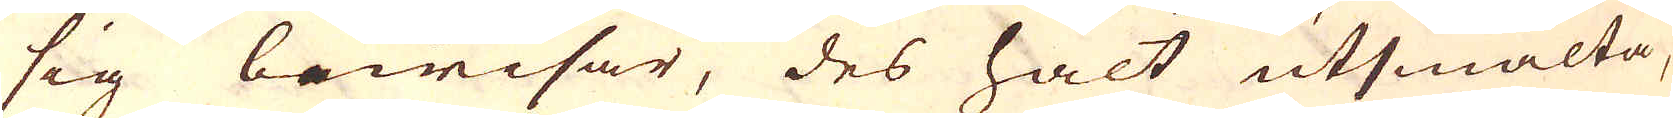sig bewisar, des halt utsmälta,
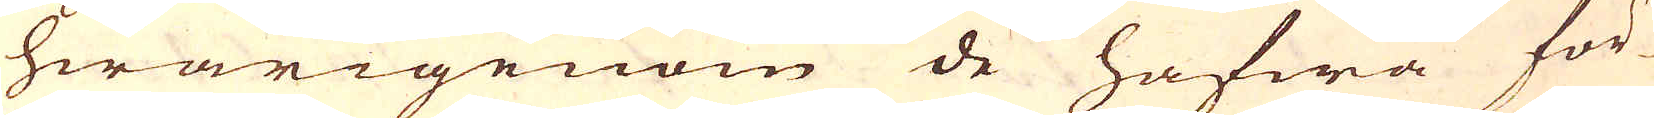hwarigenom de hafwa för
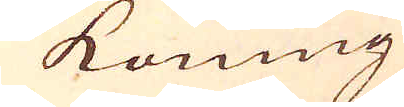Konung
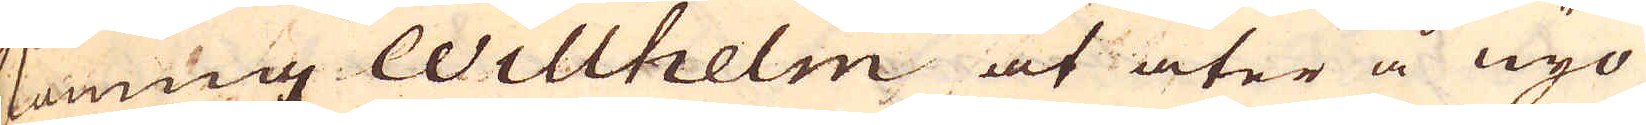Konung Willhelm at åter å nyo
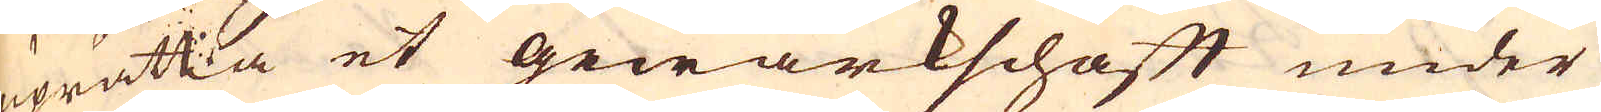uprätta et gewärkschaft under
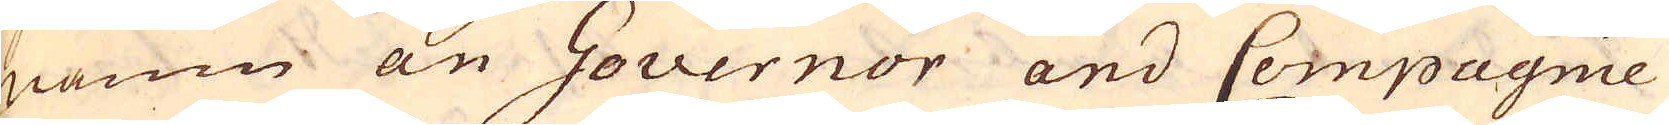namn an Governor and Compagnie
